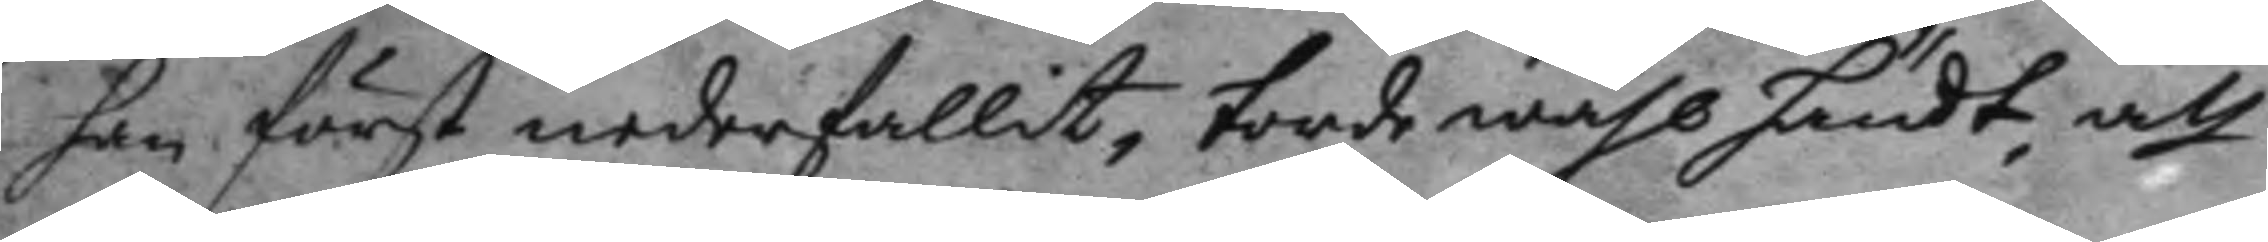han först nedefallit, torde wähl händt, att
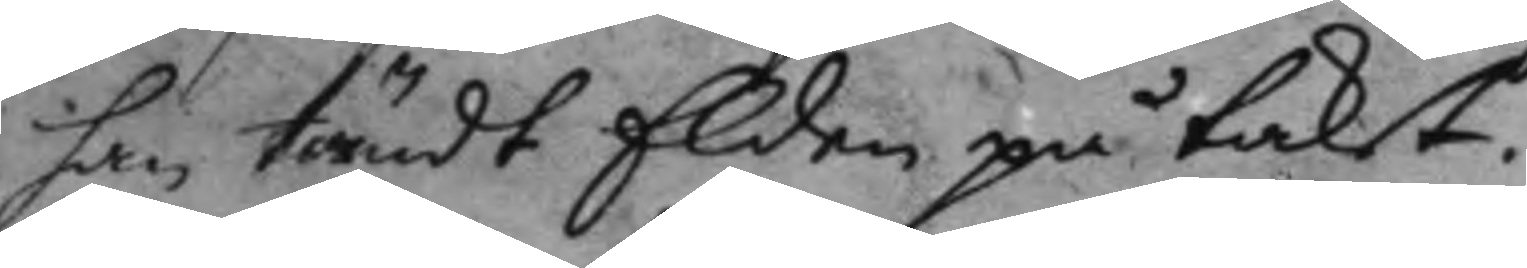han tändt Elden på taket.
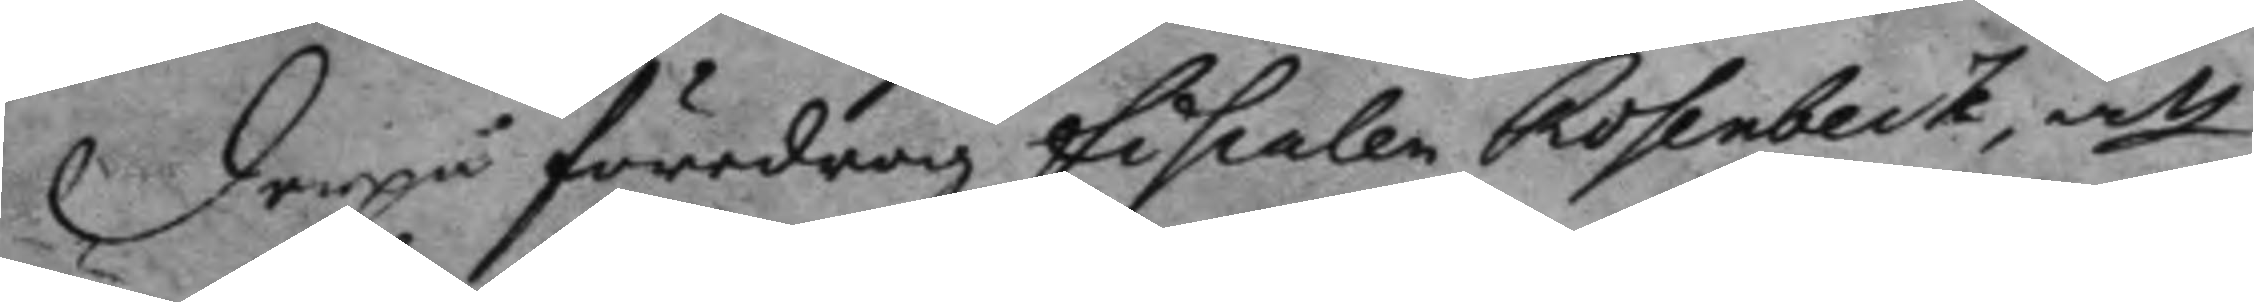Derpå föredrog fiskalen Rosenbeck att
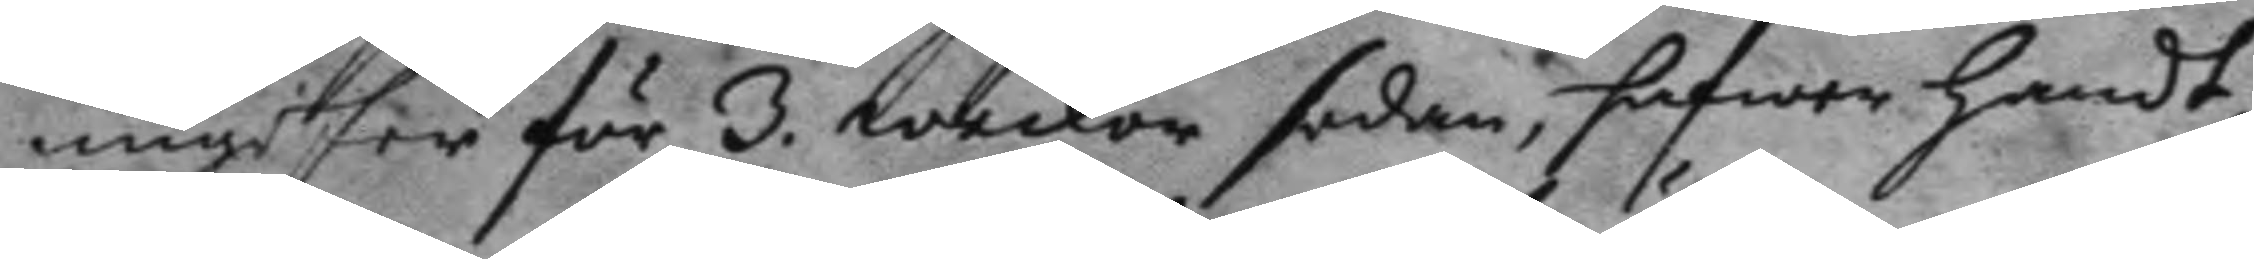ungefer för 3. weckor sedan, hafwer handt¬
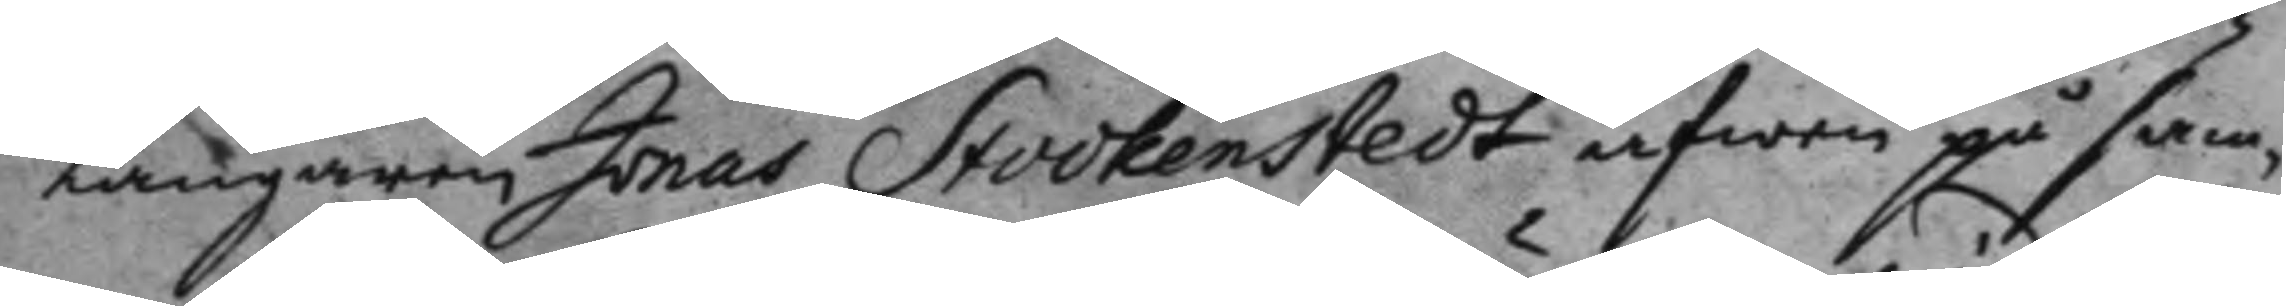langaren Jonas Stookenstedt äfwen på sam¬
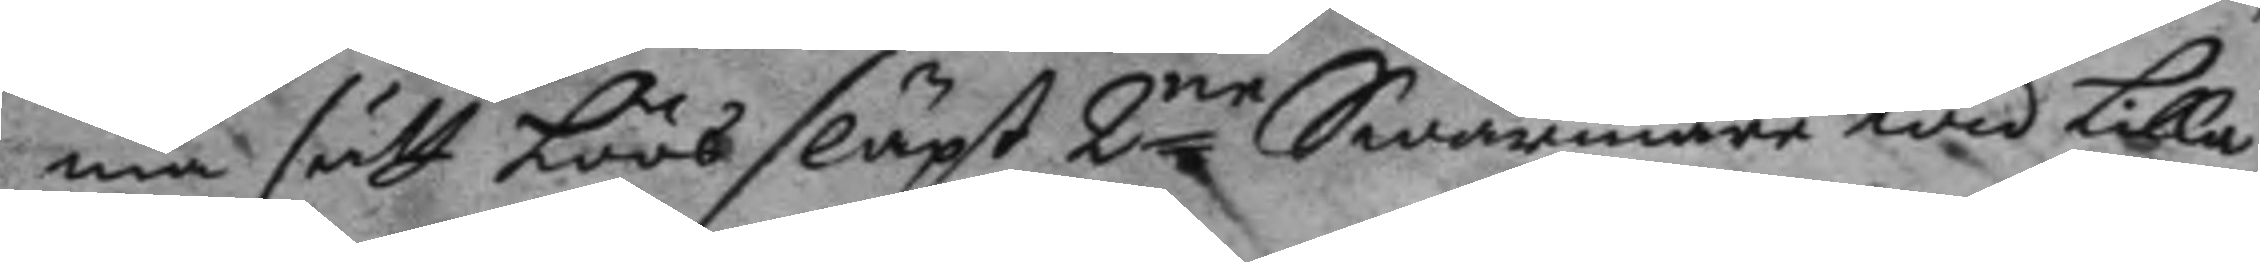ma sätt löös släpt 2ne Swärmare wid Lilla
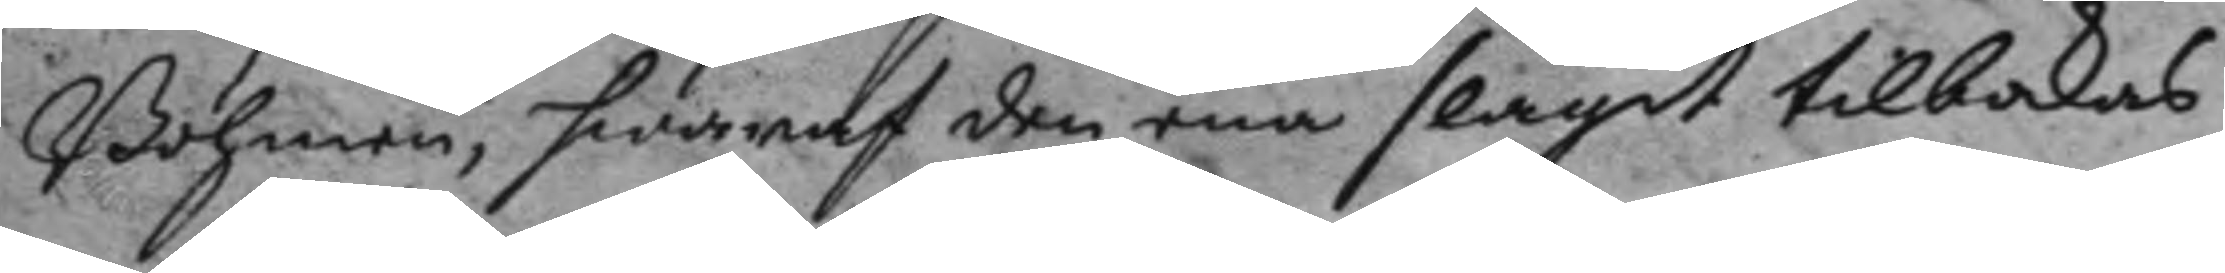Bohmen, hwarest den ena slagit tillbakas
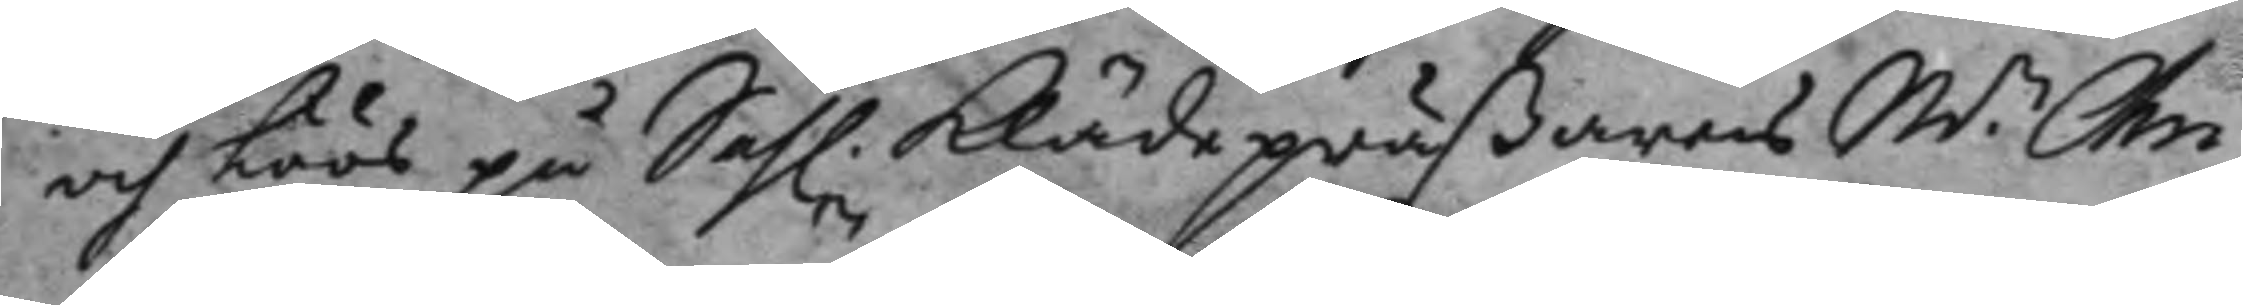och Löös på Sahl. klädepräßarens W.n Chri¬
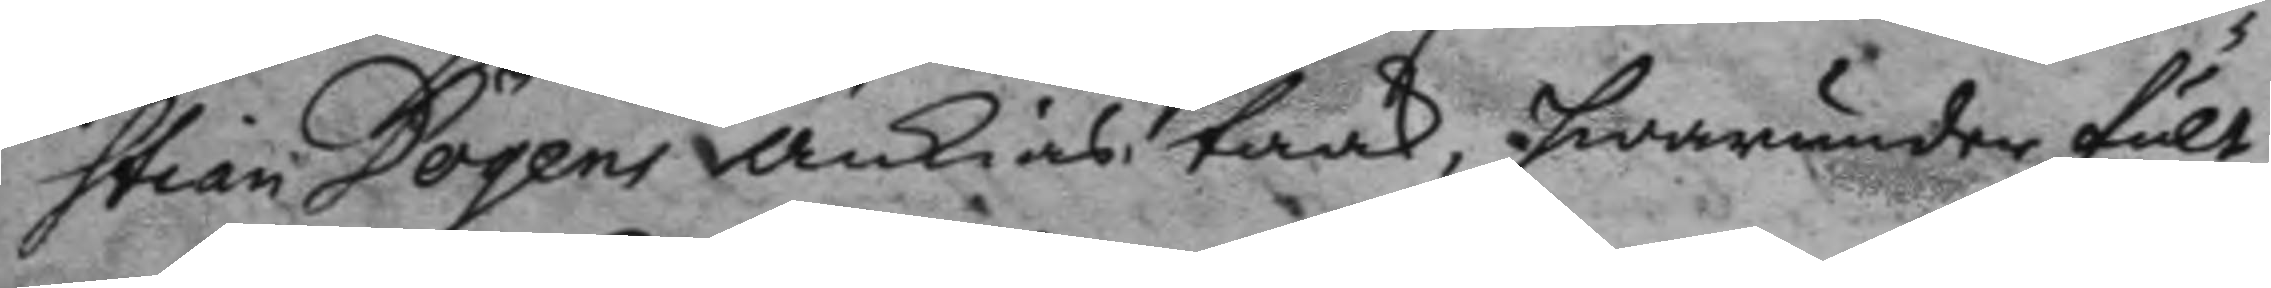stian Dögens änkias taak, hwarunder fult
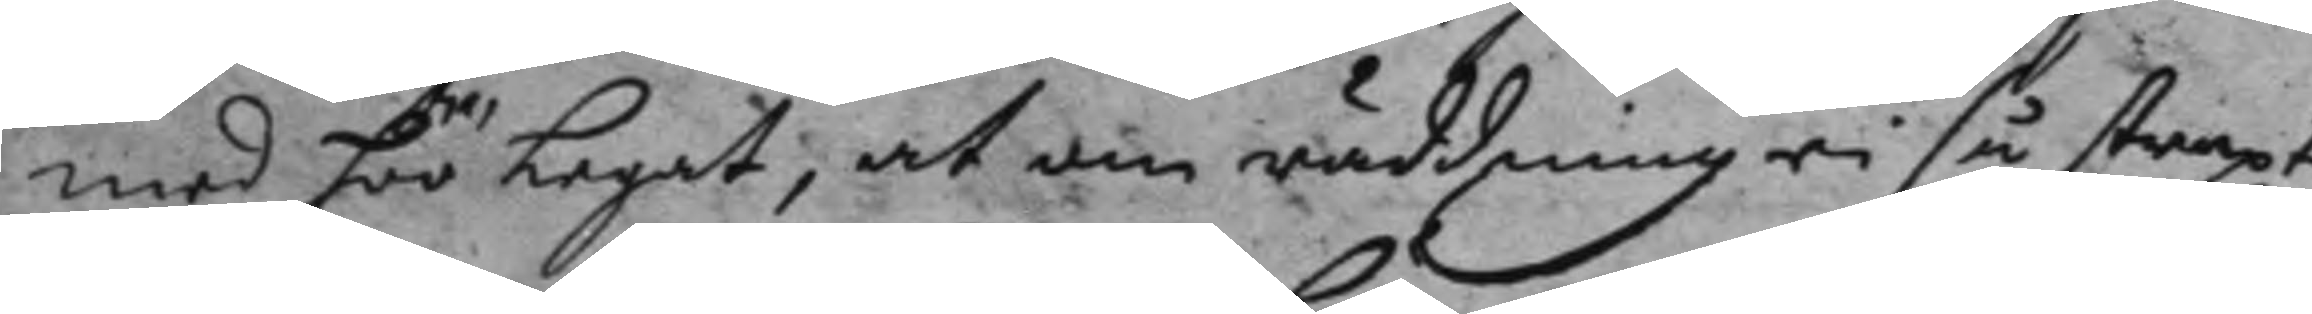med höö legat, at om räddning ei så straxt
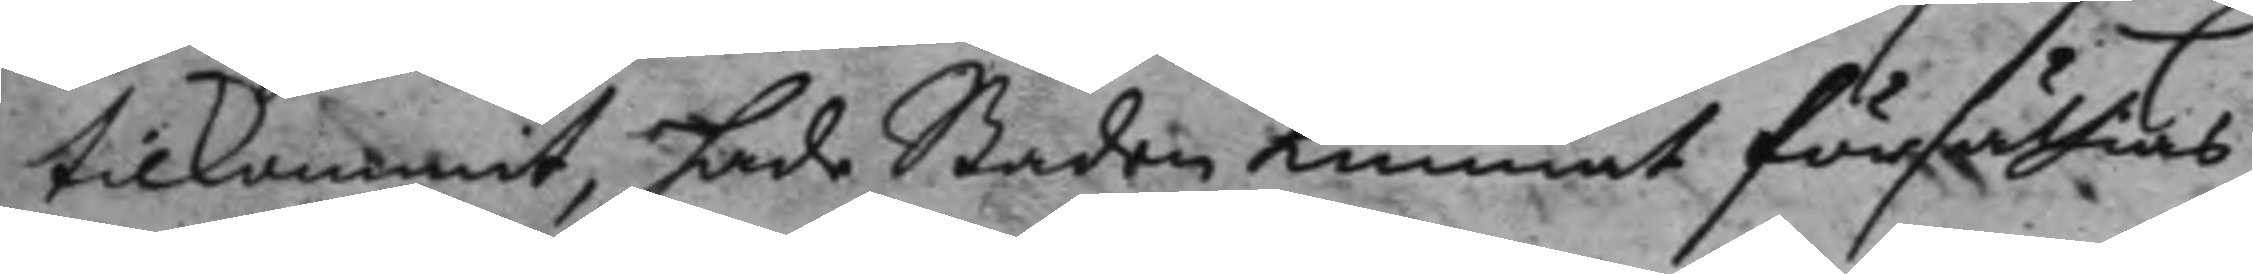tilkommit, hade Staden kunnat försättias
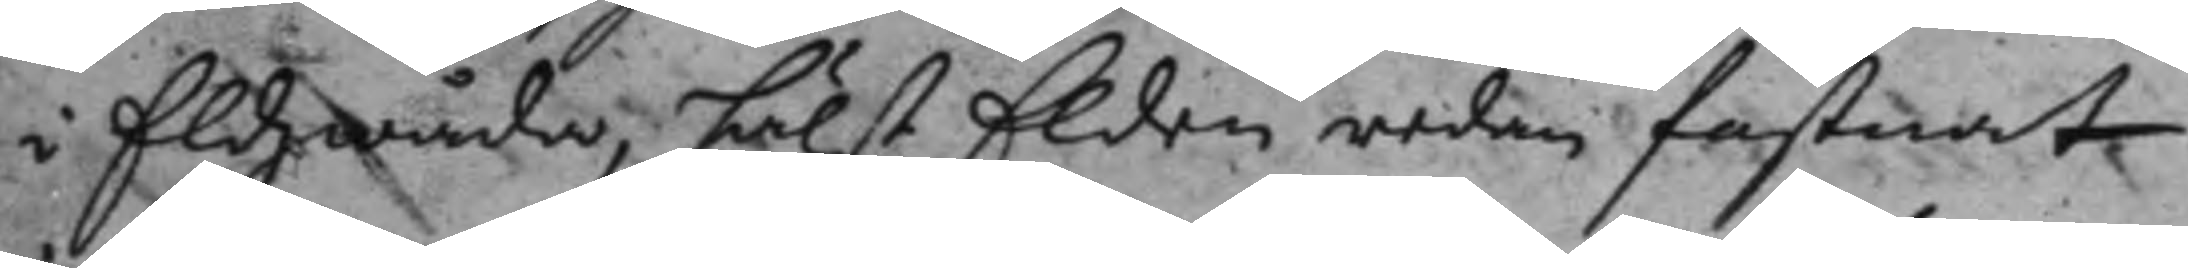i Eldzwåda, hälstElden redan fastnat
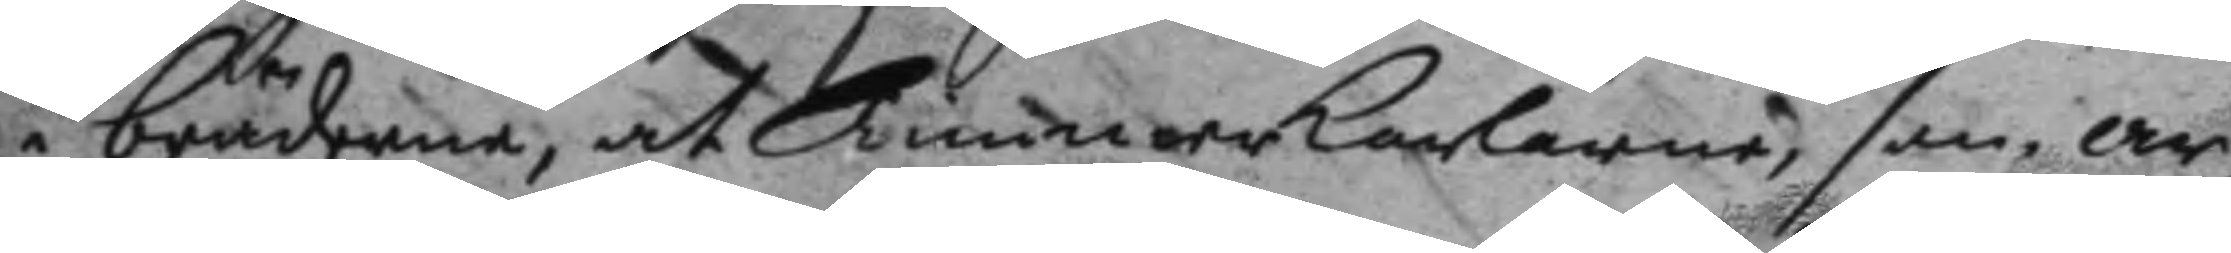i bräderne, at Timmerkarlarne, som ar¬
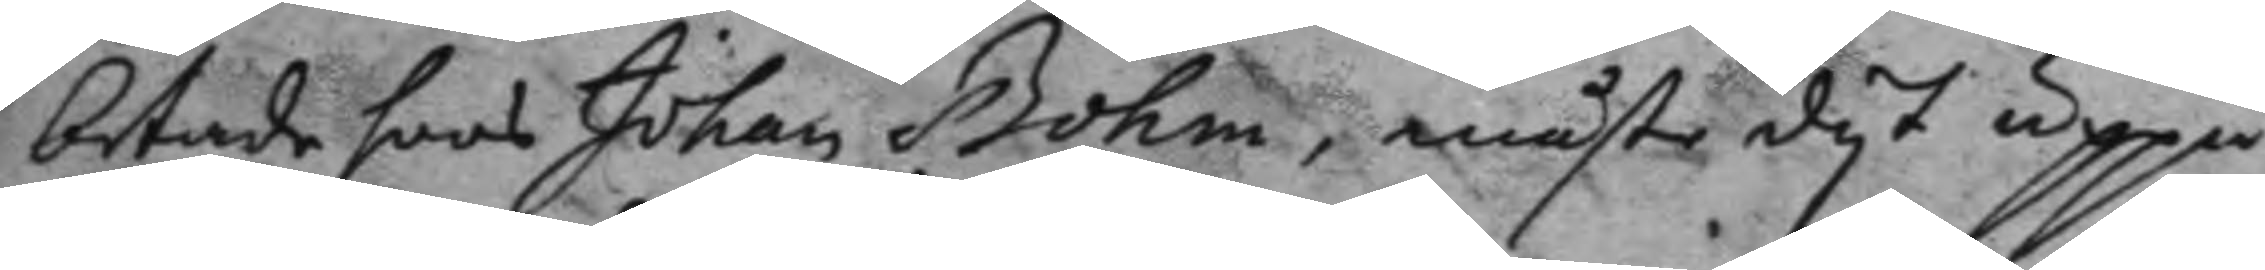betade hoos Johan Bohm, måste dyt uppå
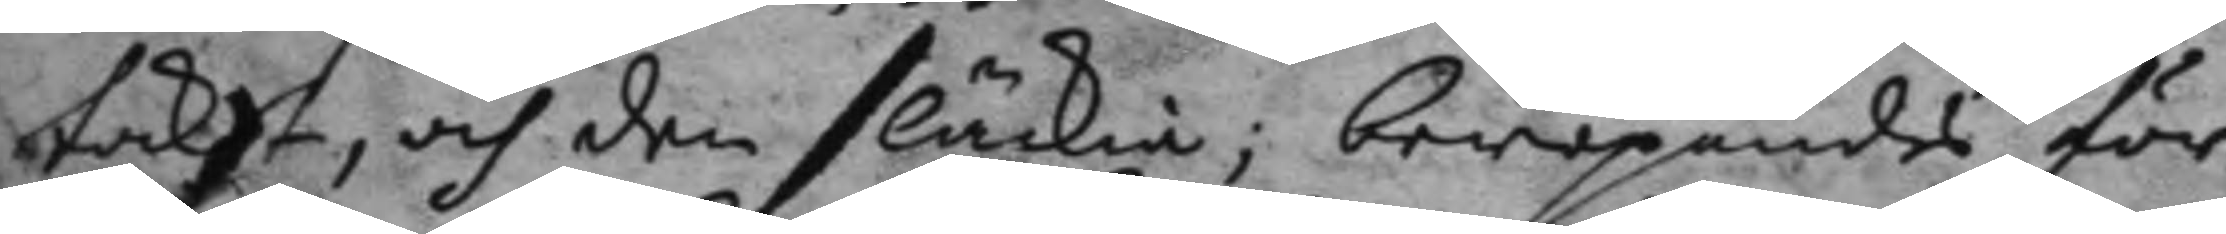taket, och den släckia; beropandes för
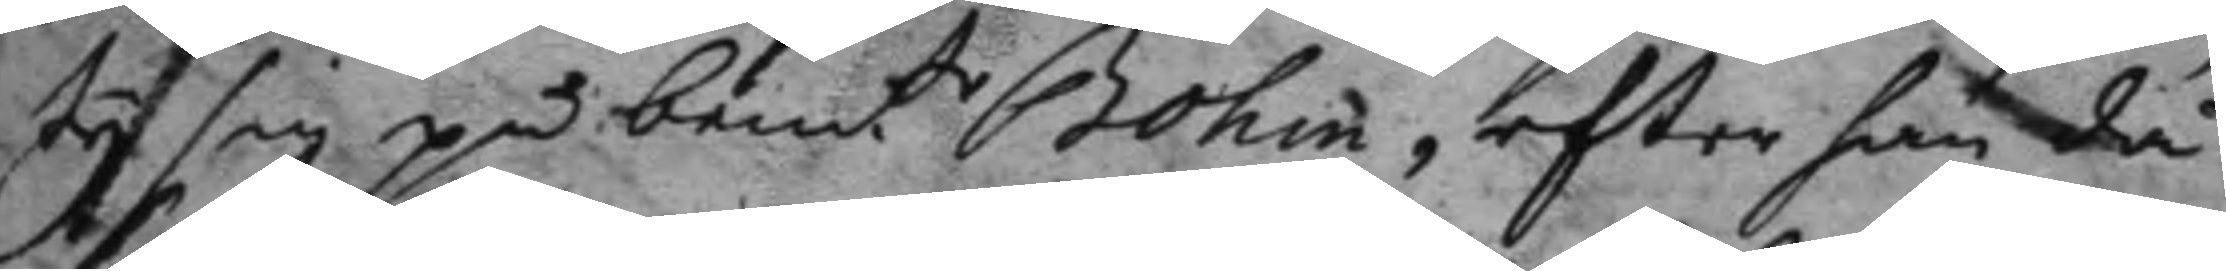ty sig på bemt.e Bohm, efter han då
